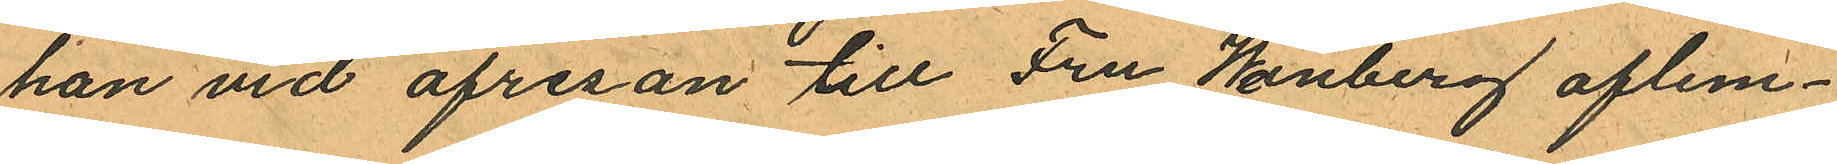han vid afresan till Fru Weinberg aflem¬
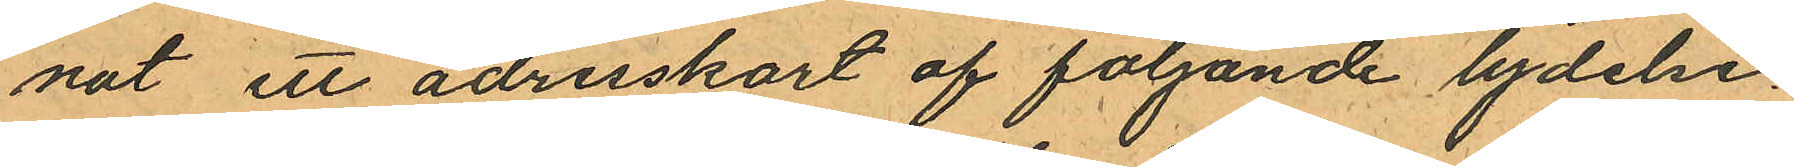nat ett adresskort af följande lydelse
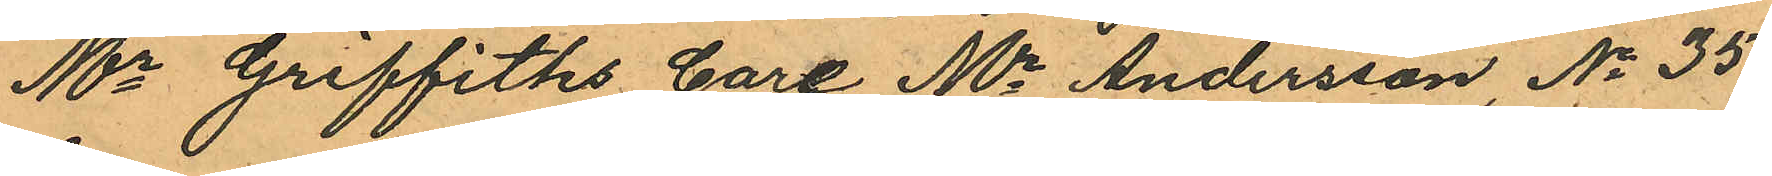Mr Griffiths Care Mr Andersson, No 35
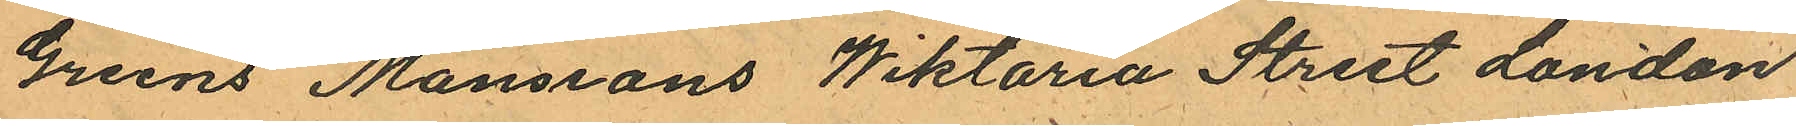Greens Manseans Wiktoria Street London
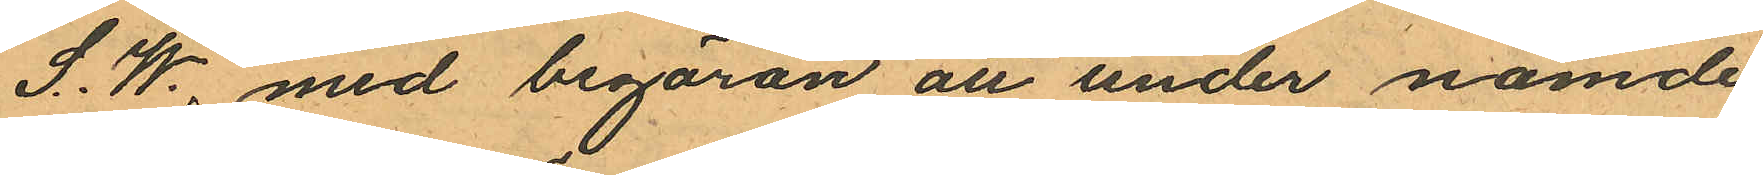S. W., med begäran att under nämde
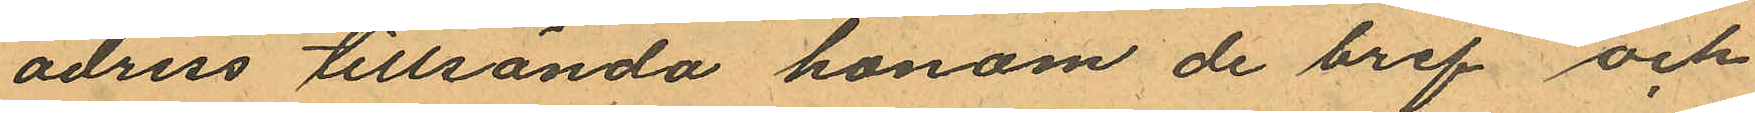adress tillsända honom de bref och
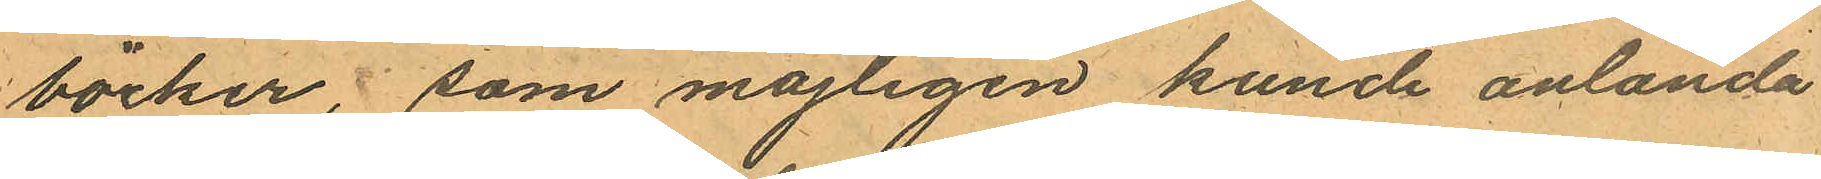böcker, som möjligen kunde anlända
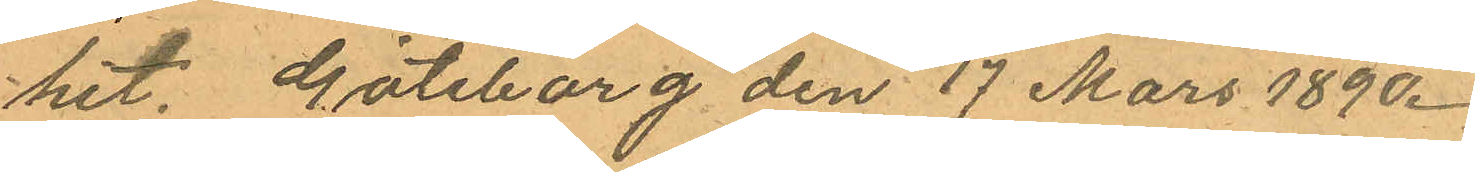hit. Göteborg den 17 Mars 1890.
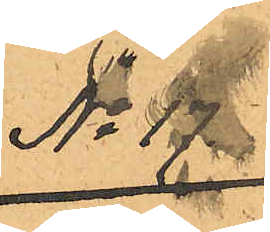No 17.
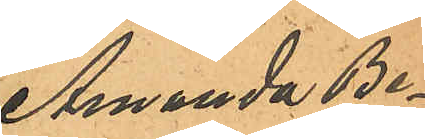Amanda Be¬
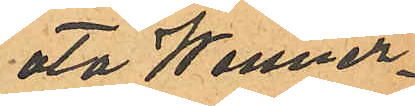ata Wenner¬
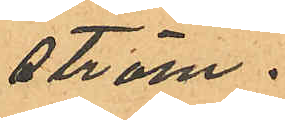ström.
